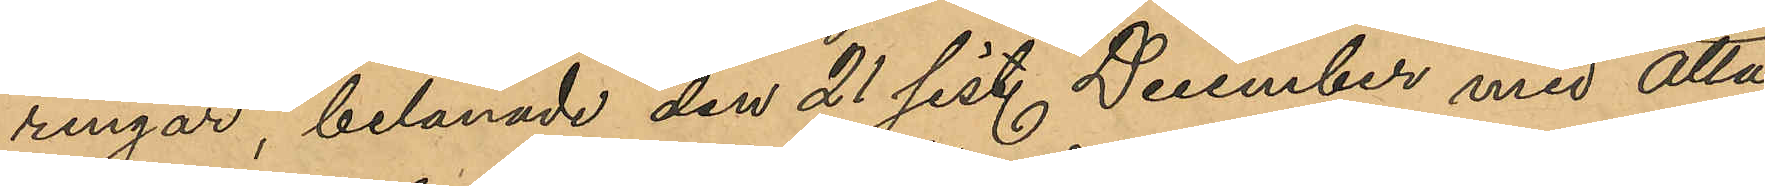ringar, belånade den 21 sist. December med åtta
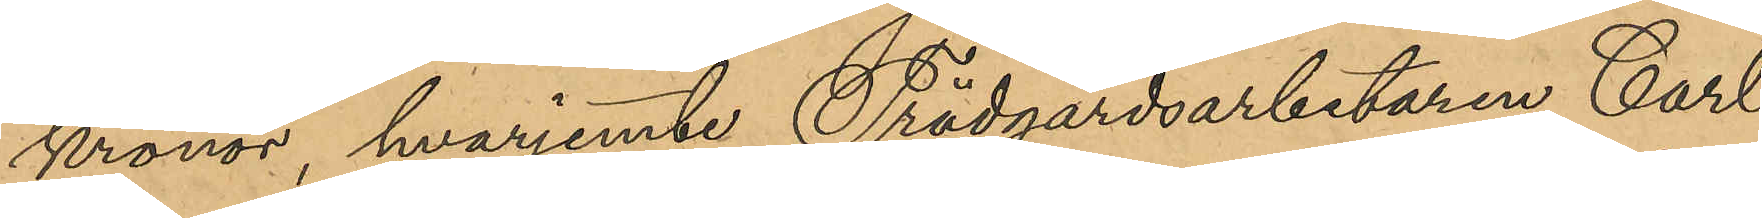kronor, hvarjemte Trädgårdsarbetaren Carl
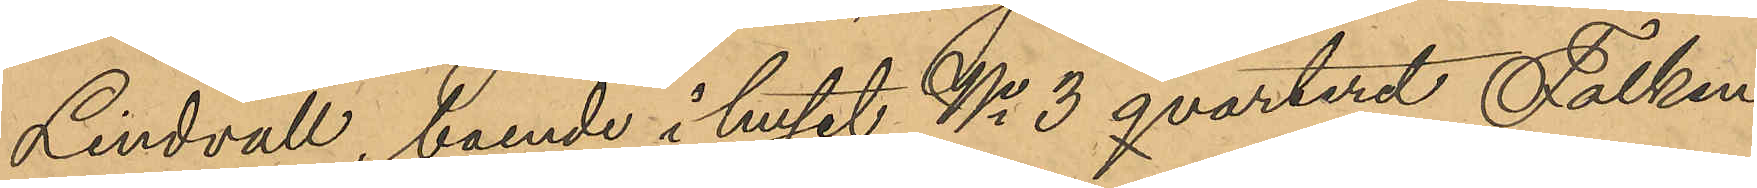Lindvall, boende i huset No 3 qvarteret Falken
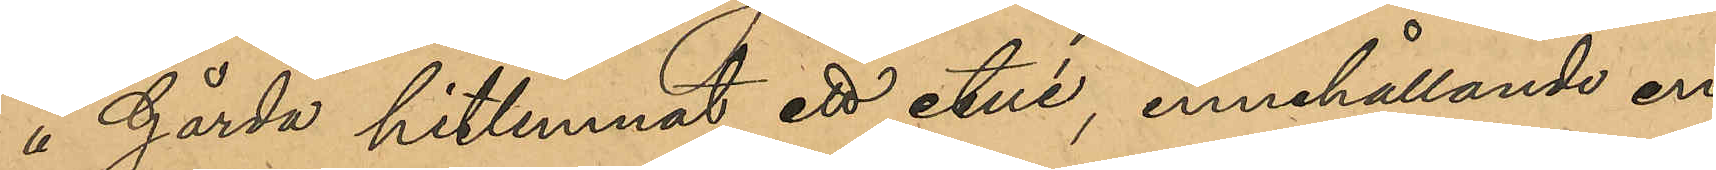å Gårda hitlemnat ett etui, innehållande en
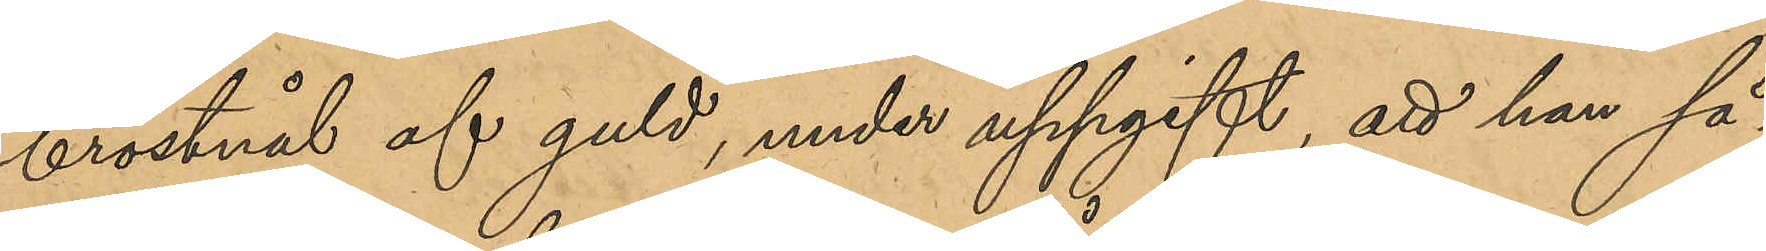bröstnål af guld, under uppgift, att han så¬
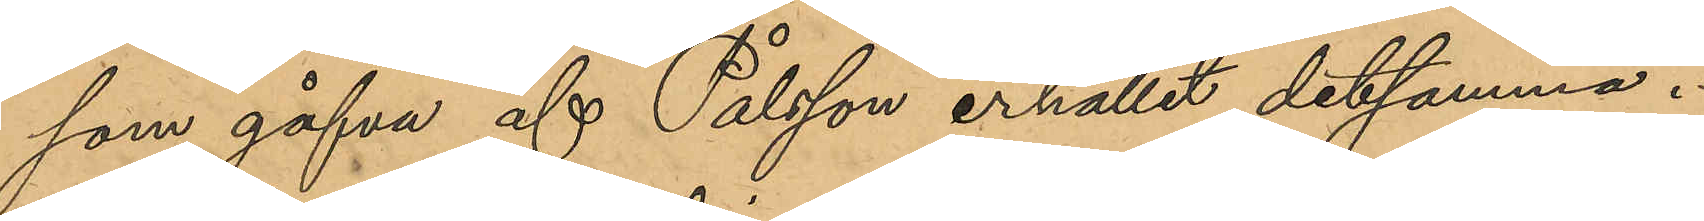som gåfva af Pålsson erhållit detsamma.
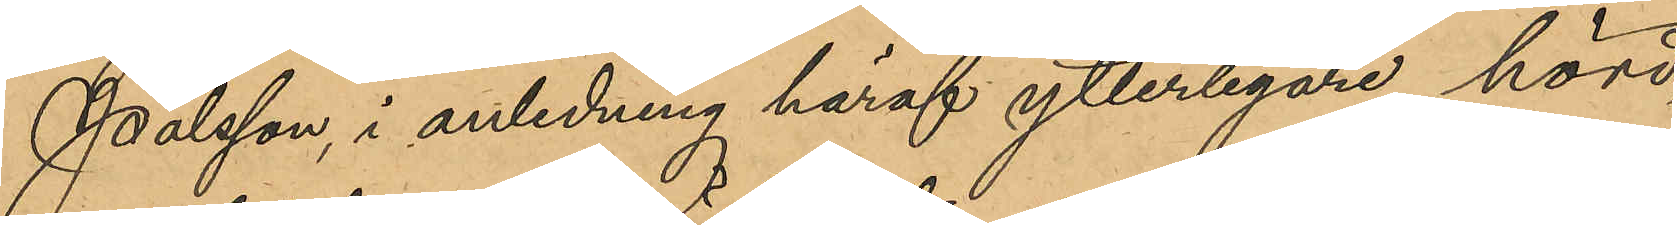Pålsson, i anledning häraf ytterligare hörd,
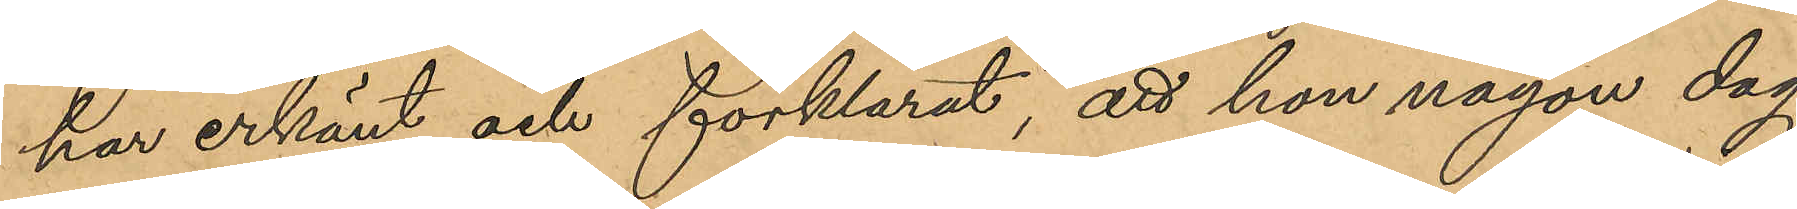har erkänt och förklarat, att hon någon dag
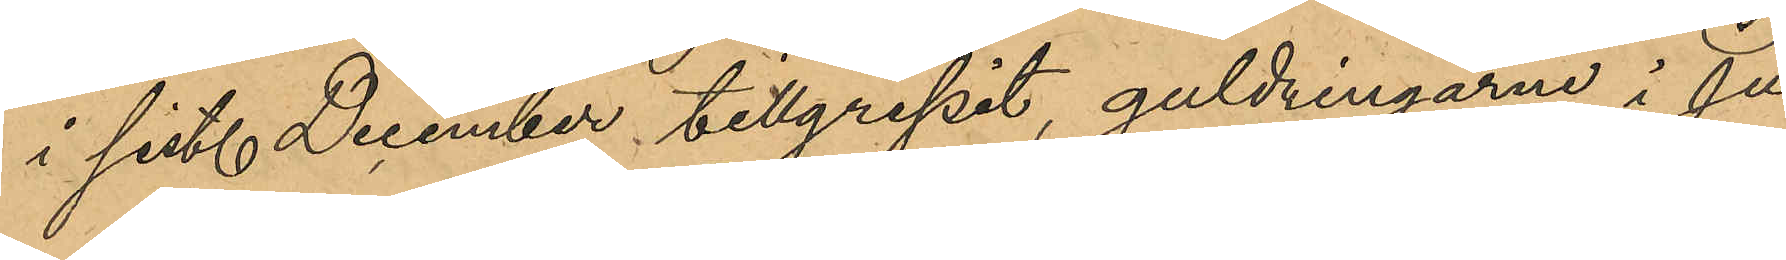i sist. December tillgripit guldringarne i Ju¬
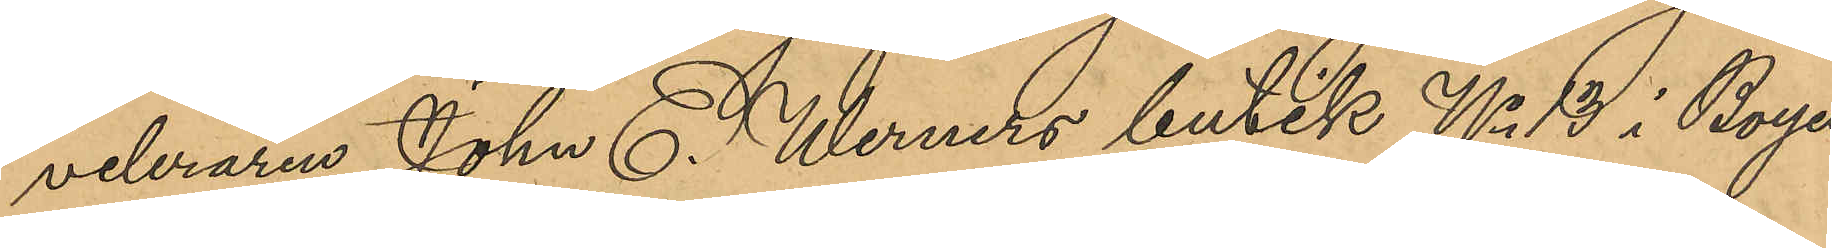veleraren John E. Werners butik No 13 i Boyes
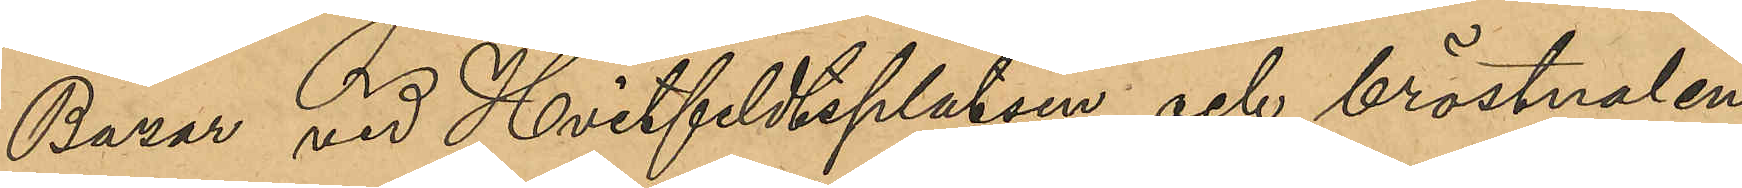Bazar vid Hvitfeldtsplatsen och bröstnalen
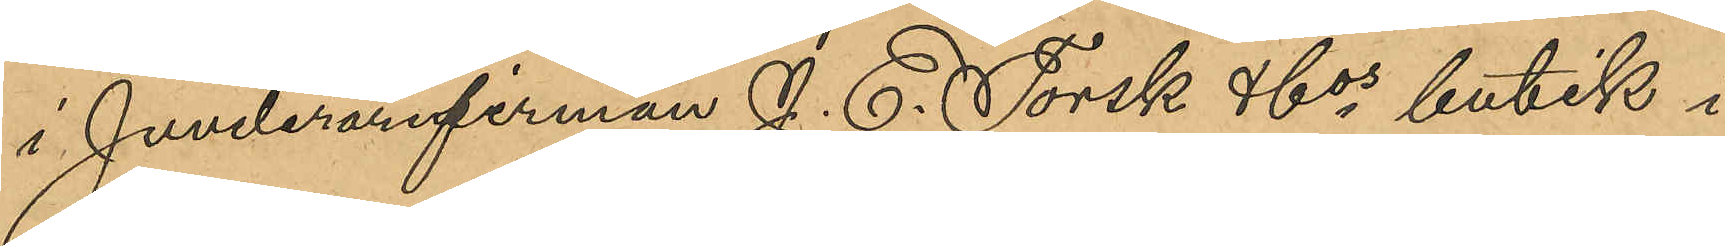i Juvelerarfirman J. E. Torsk & Cos butik i
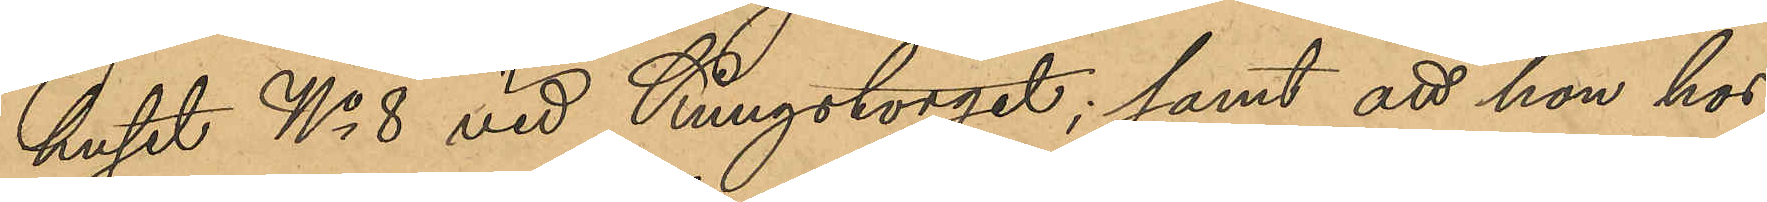huset No 8 vid Kungstorget, samt att hon hos
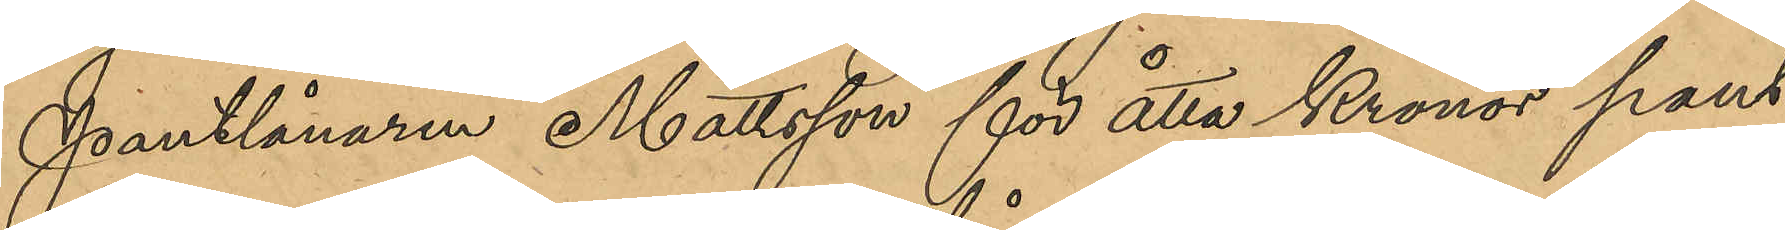pantlånaren Mattsson för åtta kronor pant¬
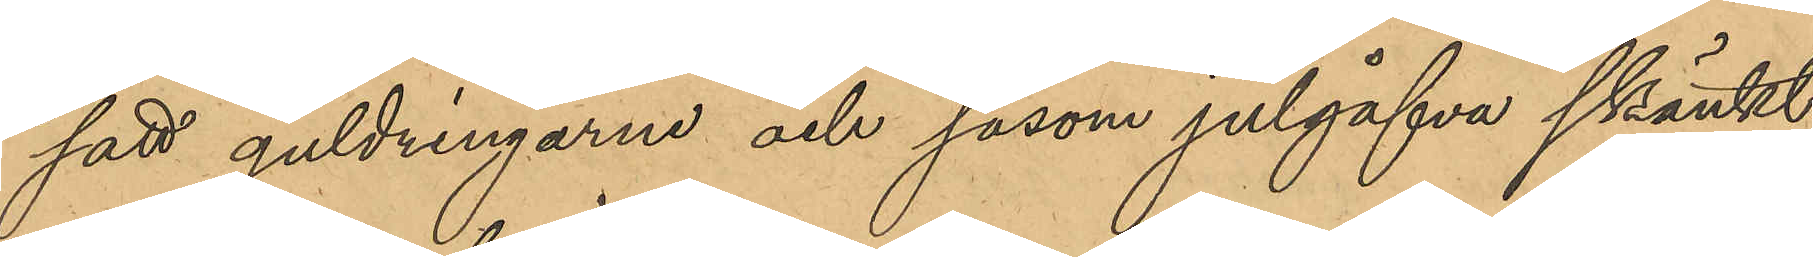satt guldringarna och såsom julgåfva skänkt
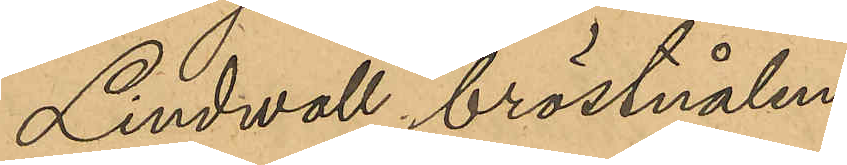Lindwall bröstnålen.
